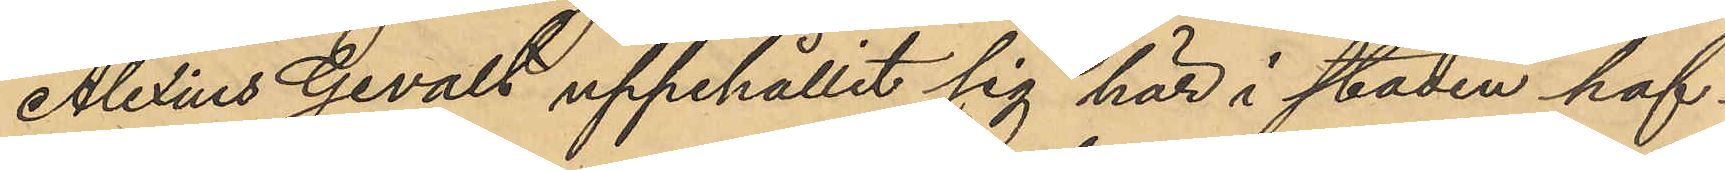Alexius Gevalt uppehållit sig här i staden haf¬
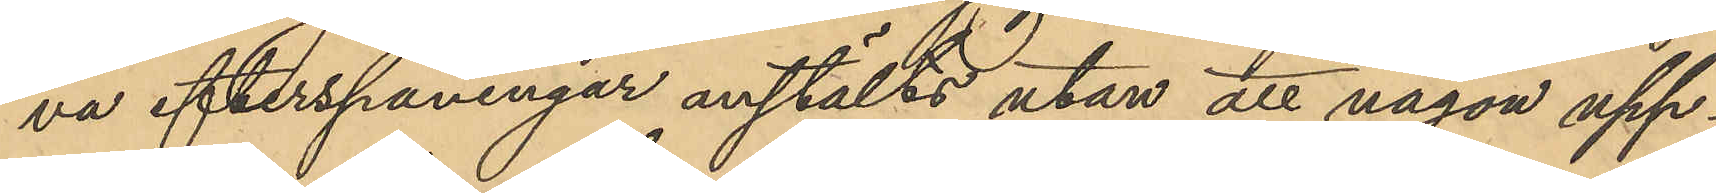va efterspaningar anstälts utan att någon upp¬
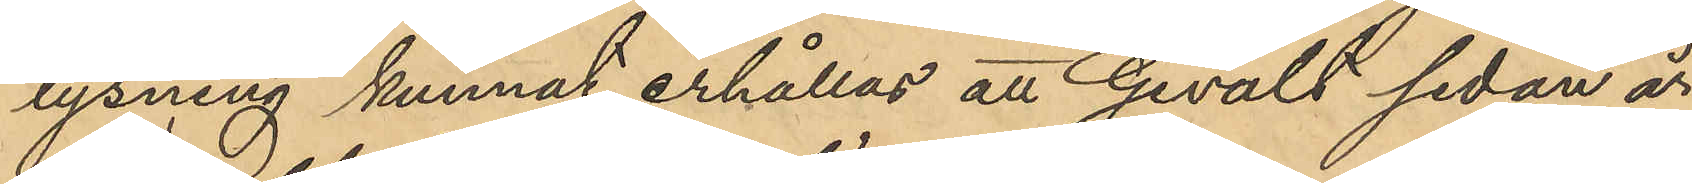lysning kunnat erhållas att Gevalt sedan år
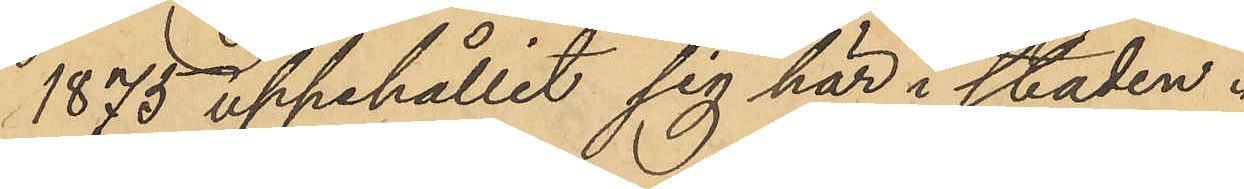1875 uppehållit sig här i staden.
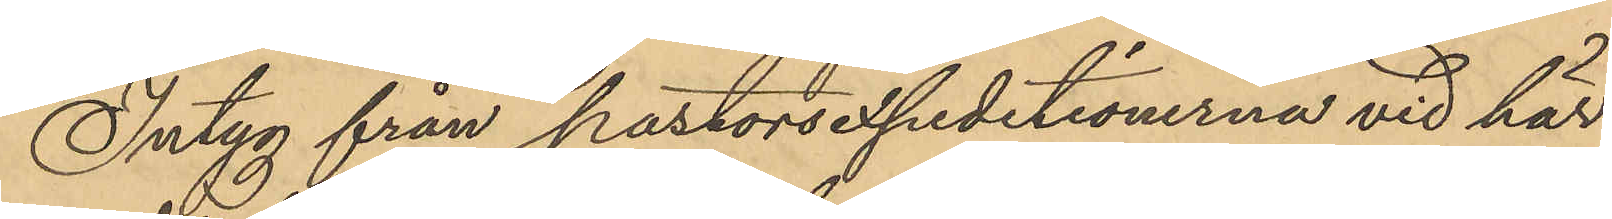Intyg från postorsexpeditionerna vid här¬
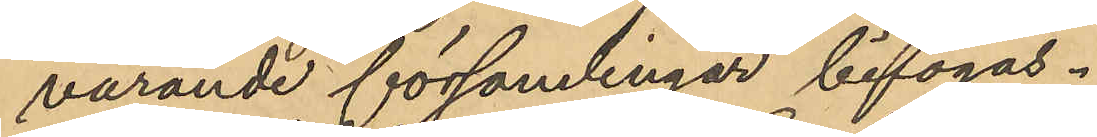varande församlingar bifogas.
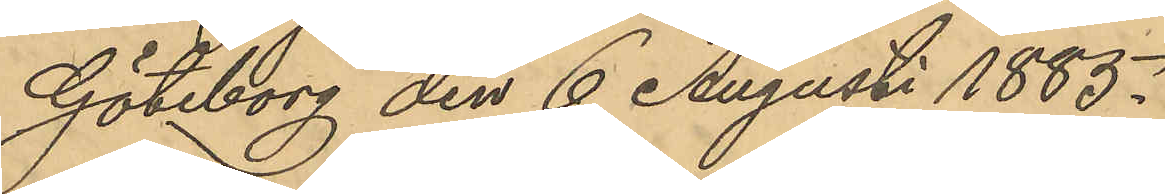Göteborg den 6 Augusti 1885.
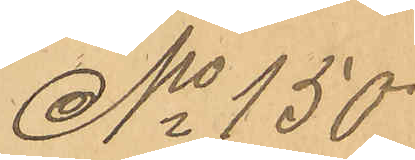No 150
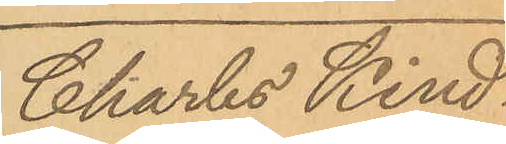Charles Kind¬
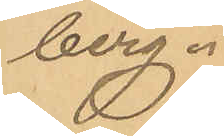berg.
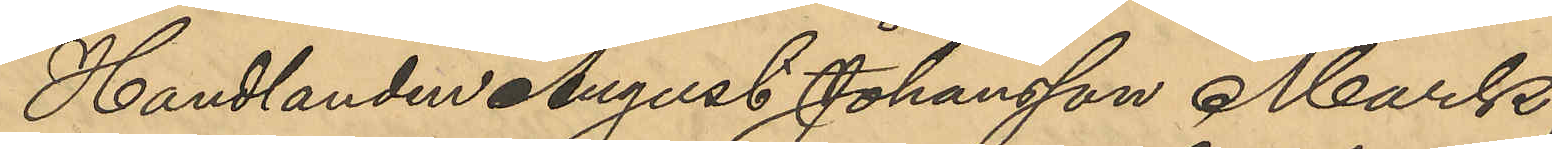Handlanden August Johansson Mark
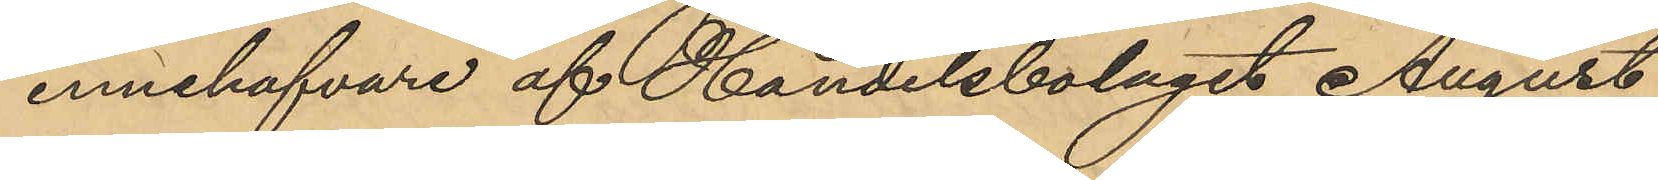innehafvare af Handelsbolaget August
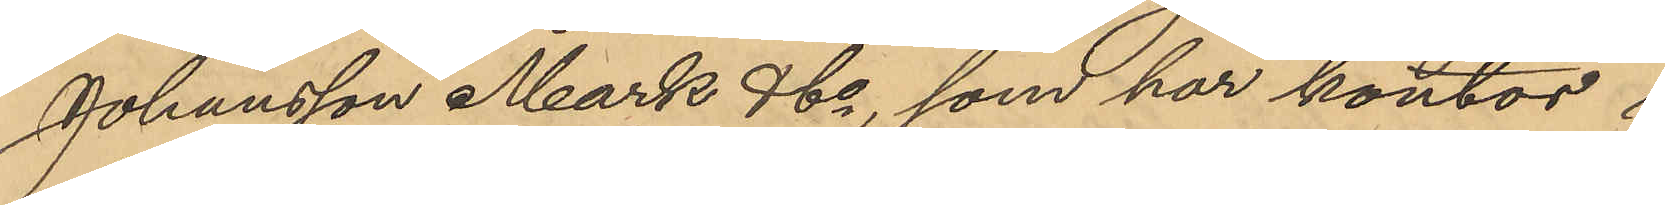Johansson Mark & Co, som har kontor i
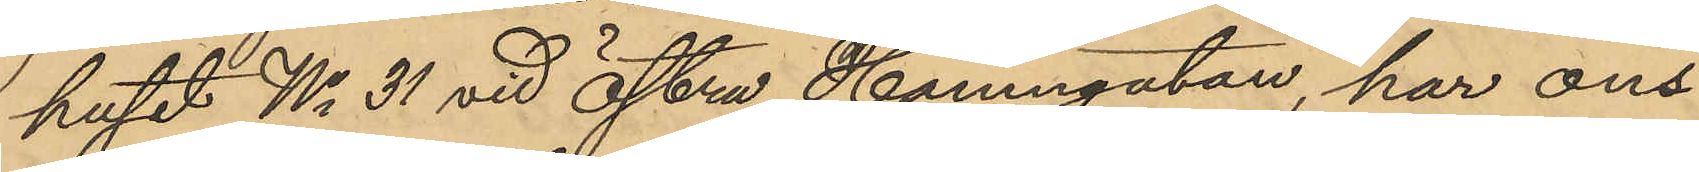huset No 31 vid Östra Hamngatan, har ons¬
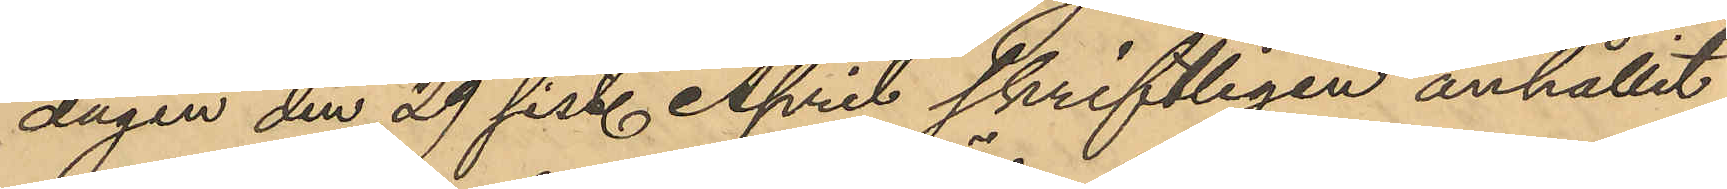dagen den 29 sist. April skriftligen anhållit
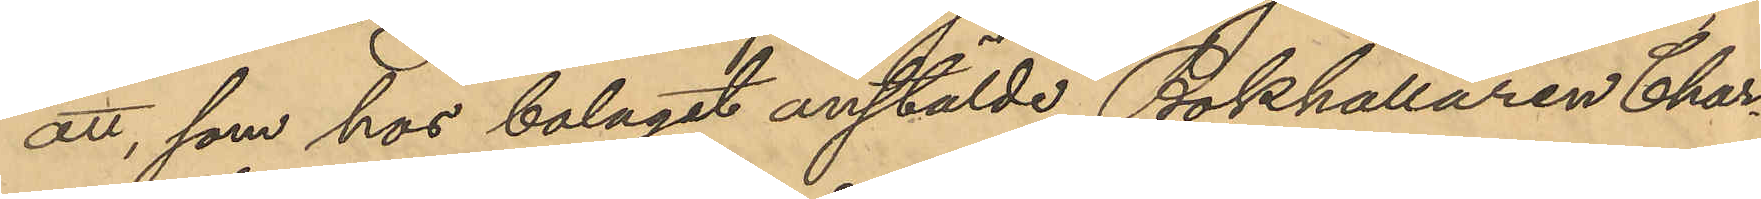att, som hos bolaget anstälde Bokhållaren Char¬
